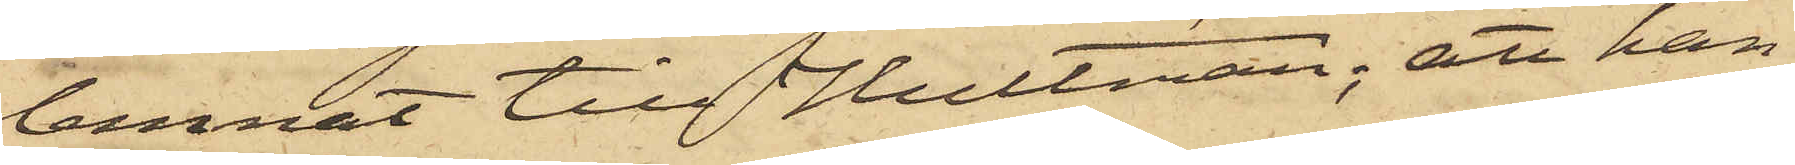lemnat till Hultman; att han
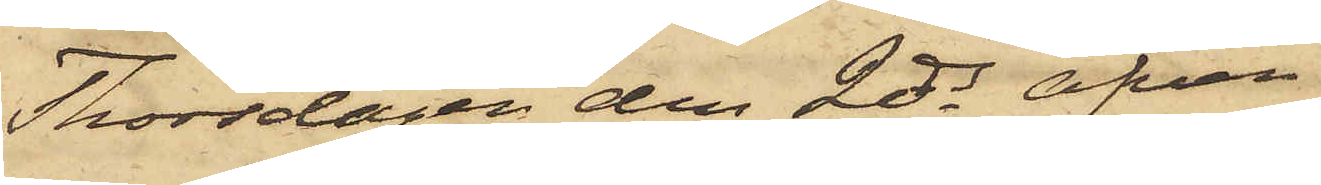Thorsdagen den 2 ds äfven
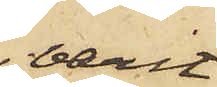varit
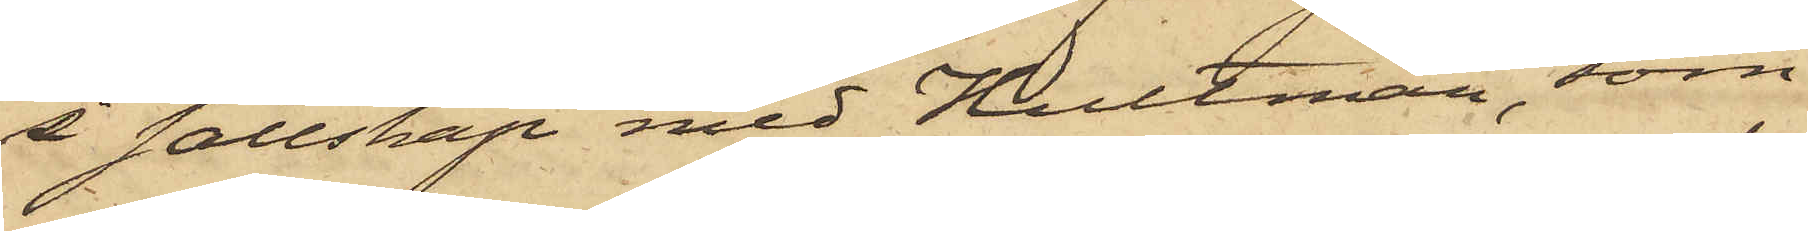i sällskap med Hultman, som
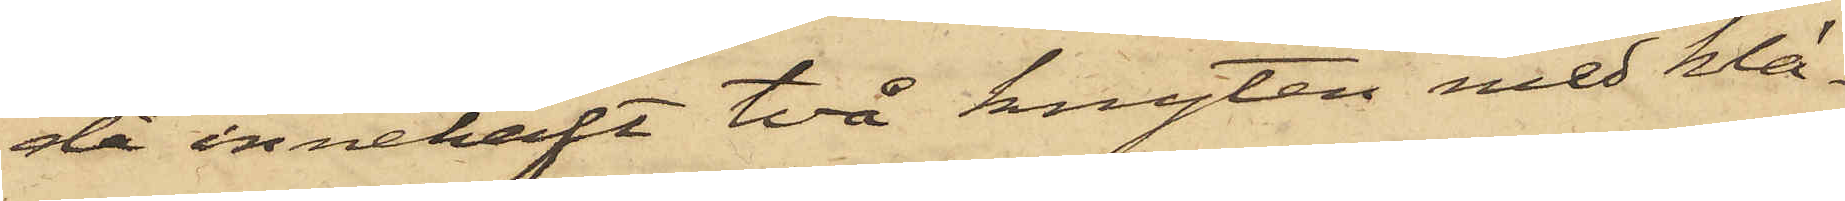då innehaft två knyten med klä¬
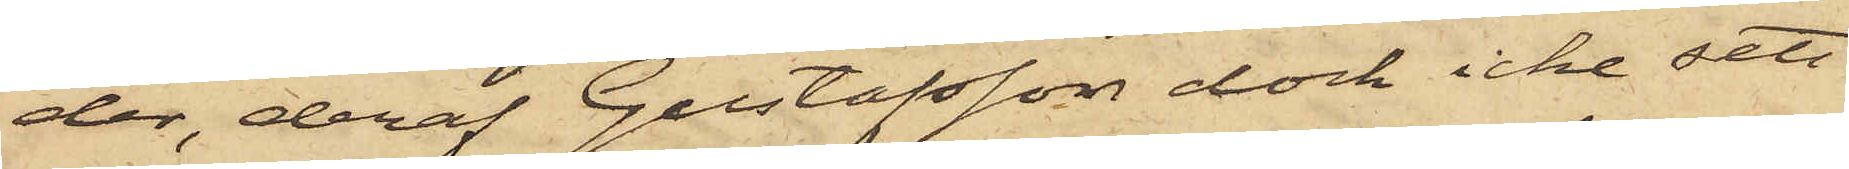der, deraf Gustafsson dock icke sett
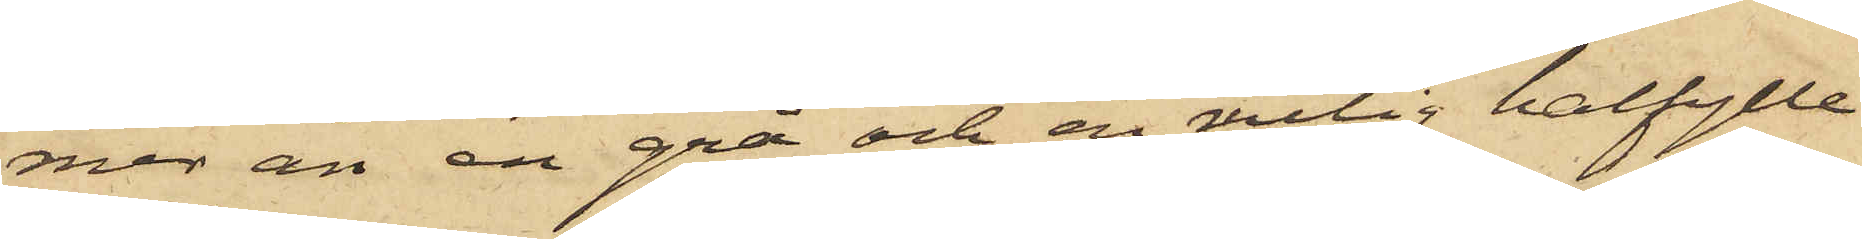mer än en grå och en rutig halfylle
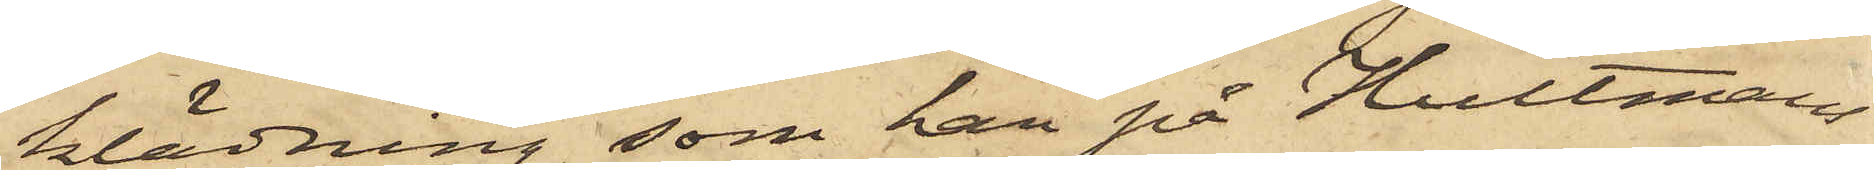klädning, som han på Hultmans
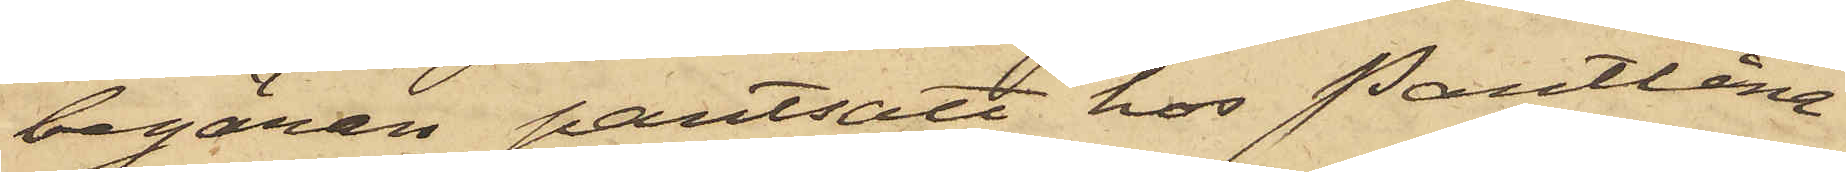begäran pantsatt hos Pantlåna¬
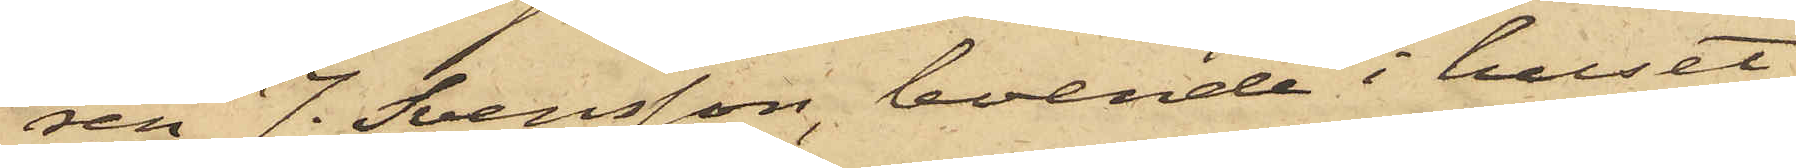ren J. Svensson, boende i huset
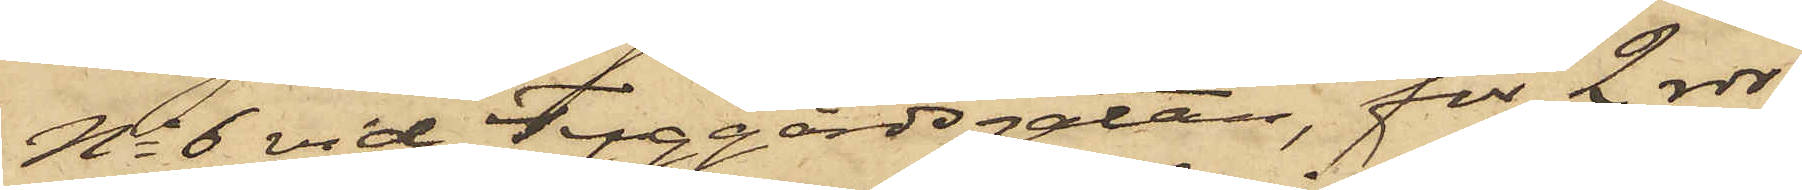No 6 vid Tyggårdsgatan, för 2 rdr,
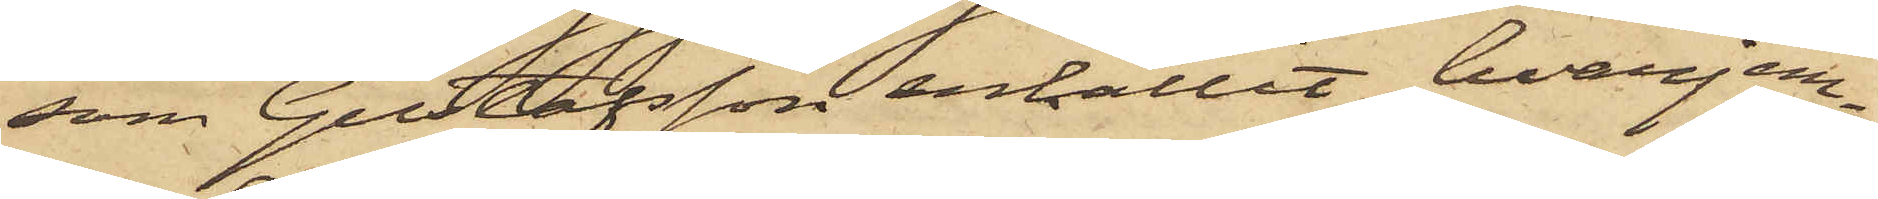som Gustafsson erhållit, hvarjem¬
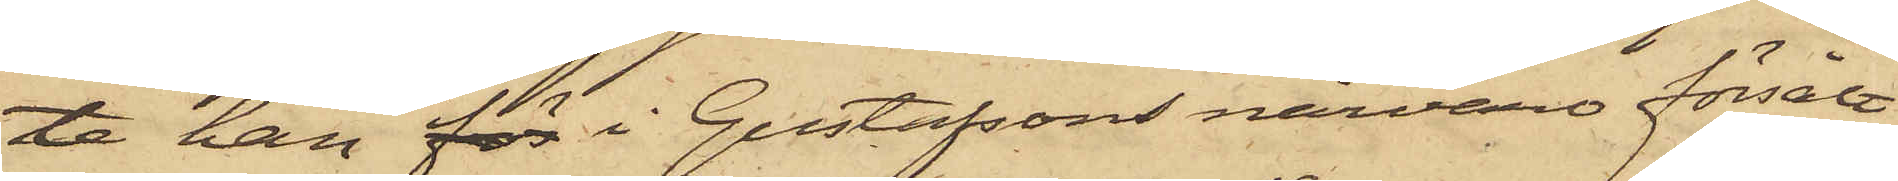te han för i Gustafsons närvaro försålt
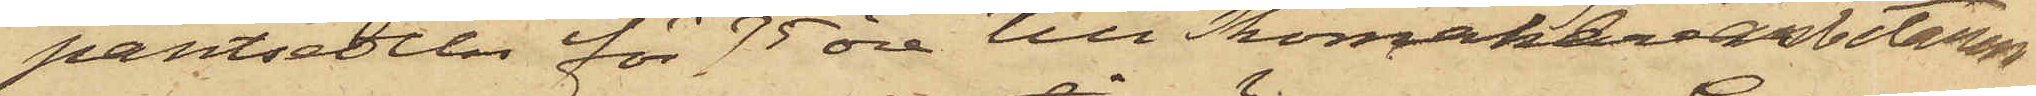pantsedeln för 75 öre till Skomakeriarbetaren
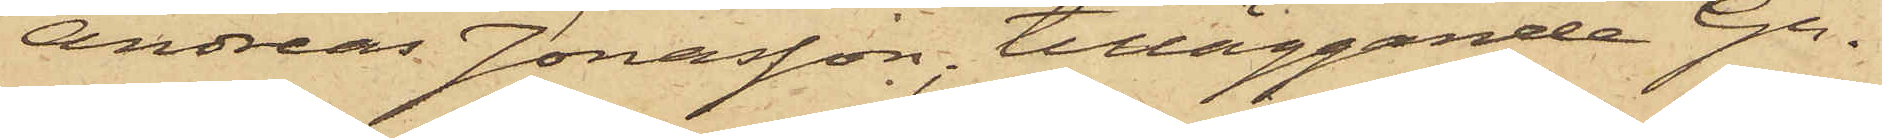Andreas Jonasson, tilläggande Gu¬
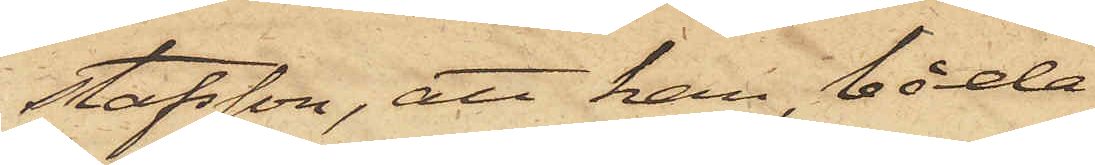stafsson, att han, båda
